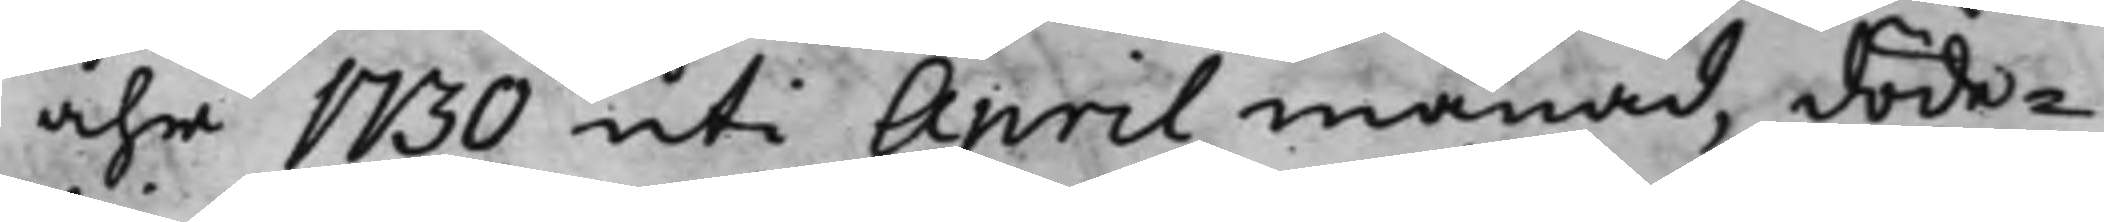åhr 1730 uti Aprill månad, döde¬
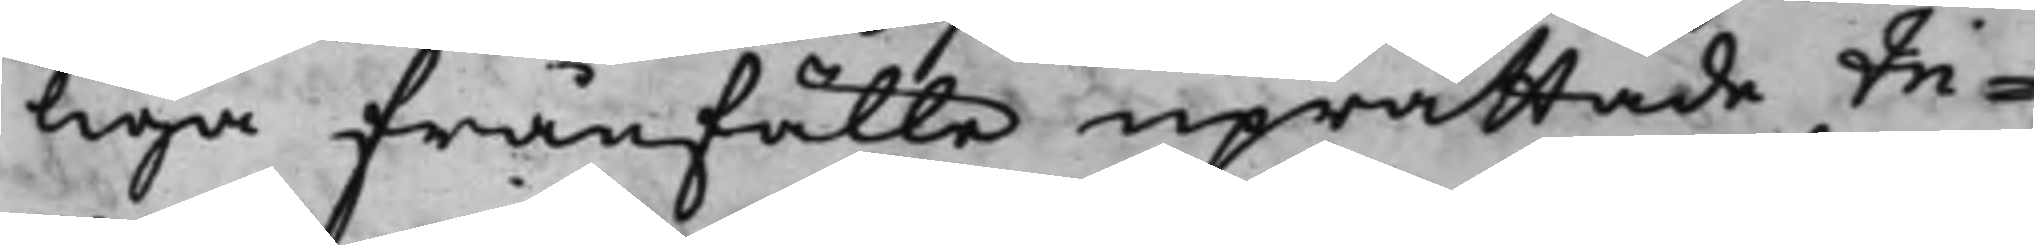liga frånfälle uprättade In¬
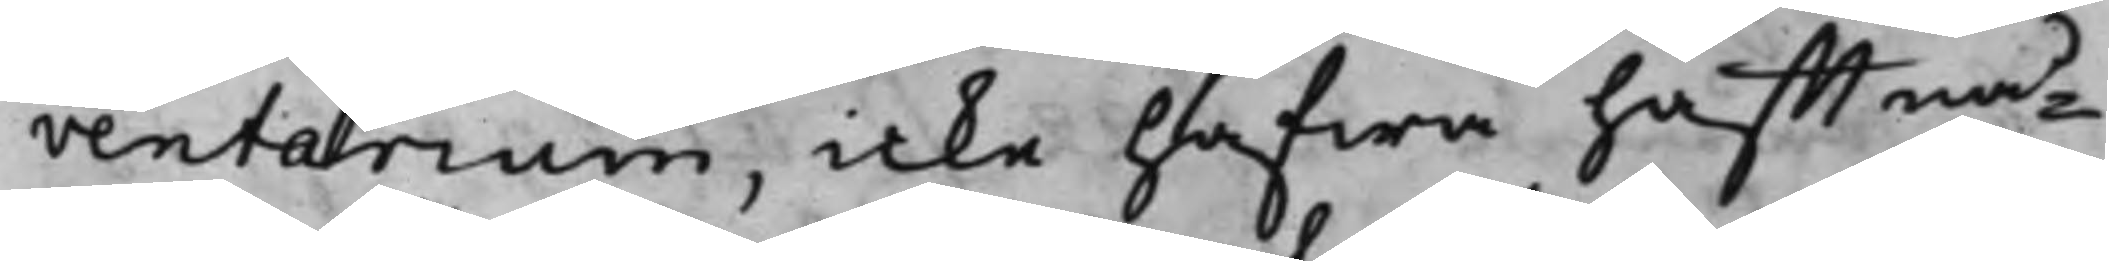ventarium, icke hafwa hafft nå¬
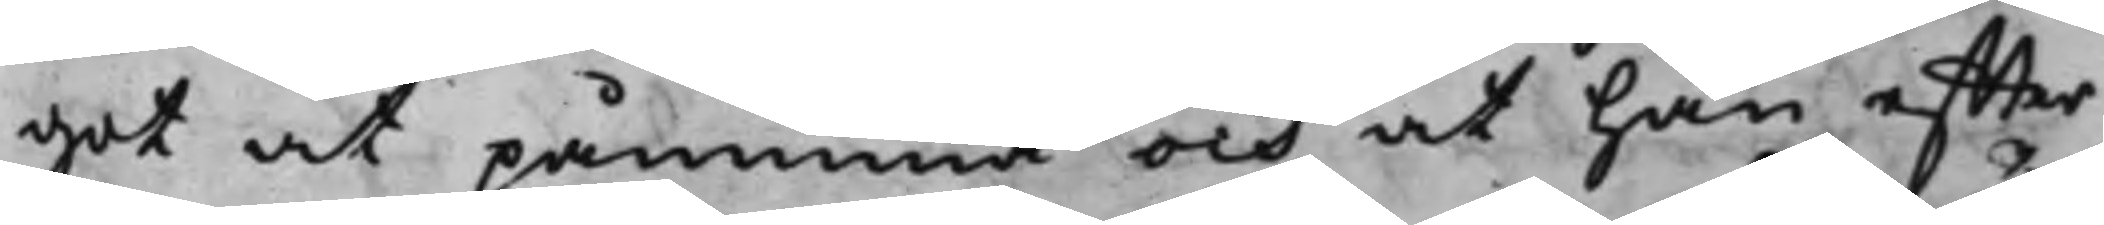got at påminna och at han effter
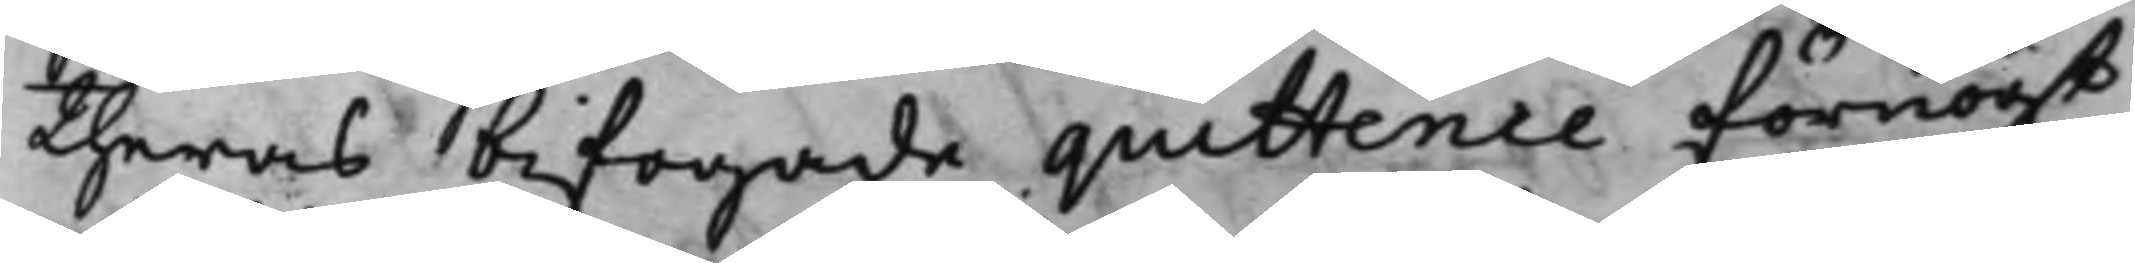theras bifogade quittence förnögt
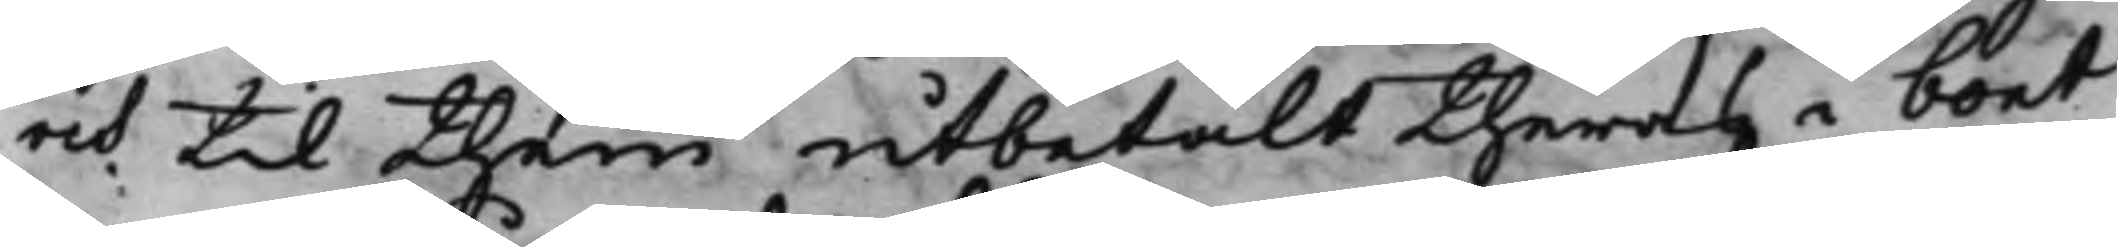och till them utbetalt theras i boet
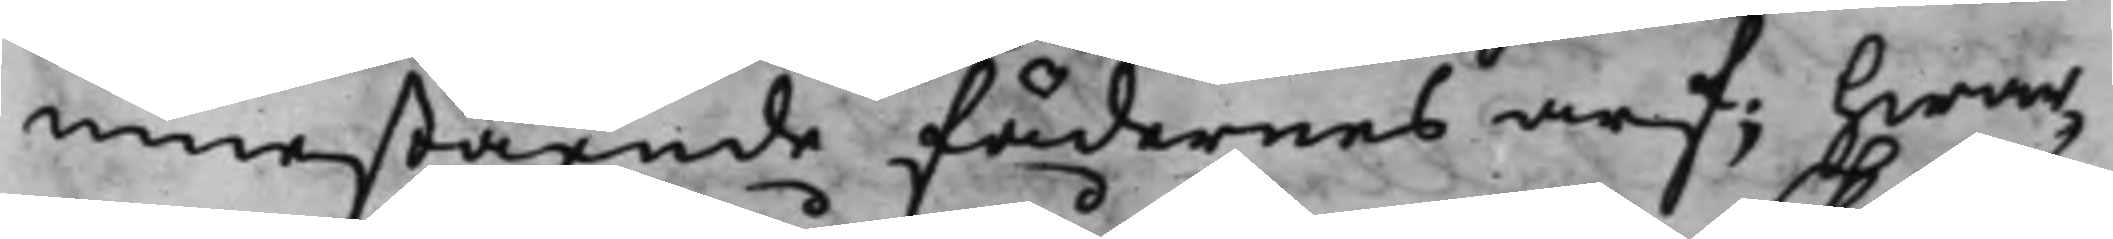innestående Fädernes arf; hwar¬
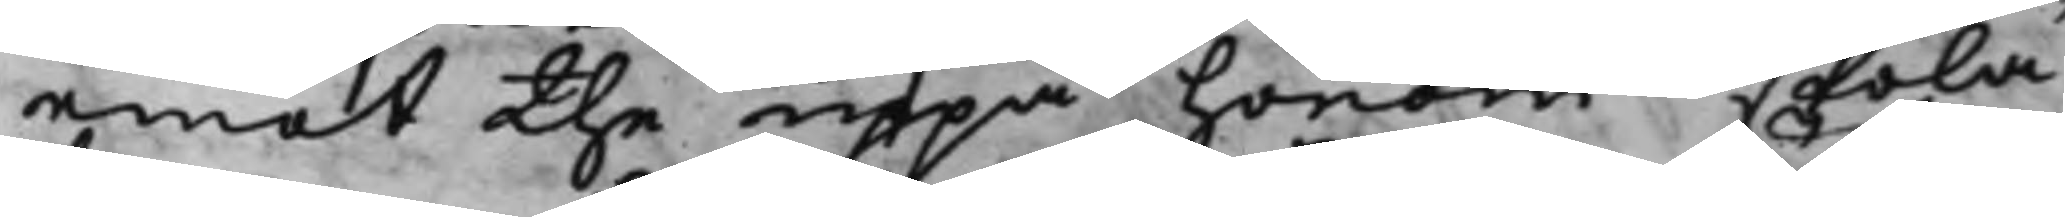emot the uppå honom skola
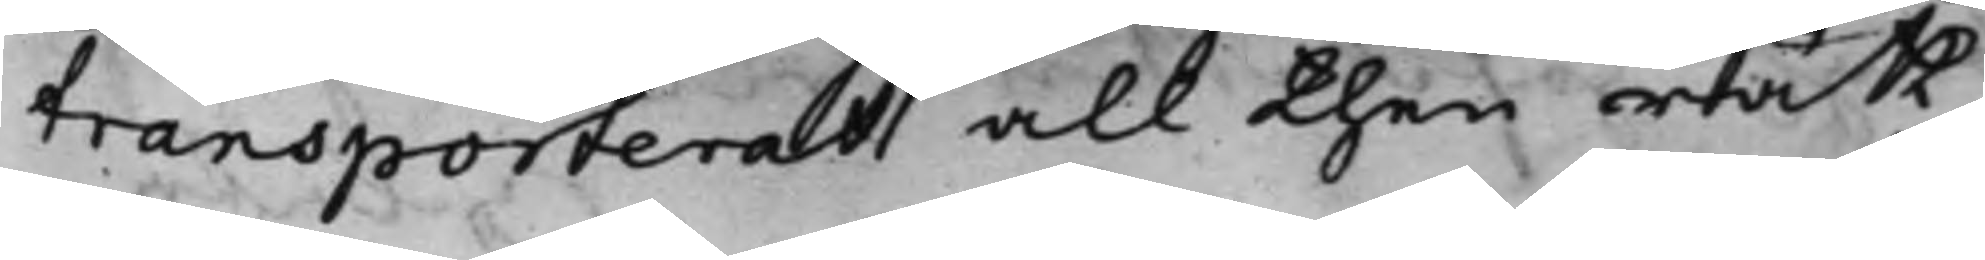transporterat all then rätt
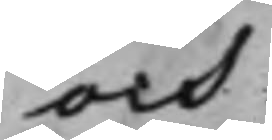och
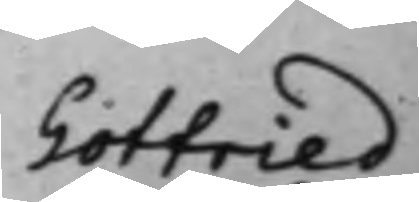Gotfried
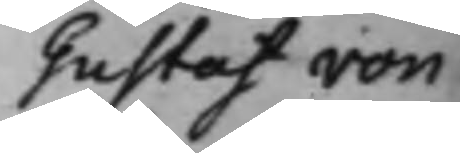Gustaf von
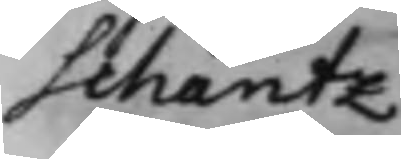Schantz
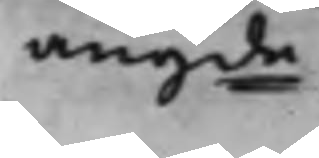angde
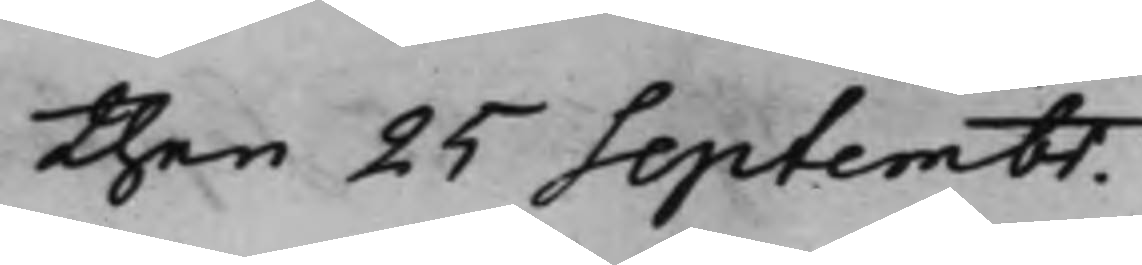then 25 Septembr.
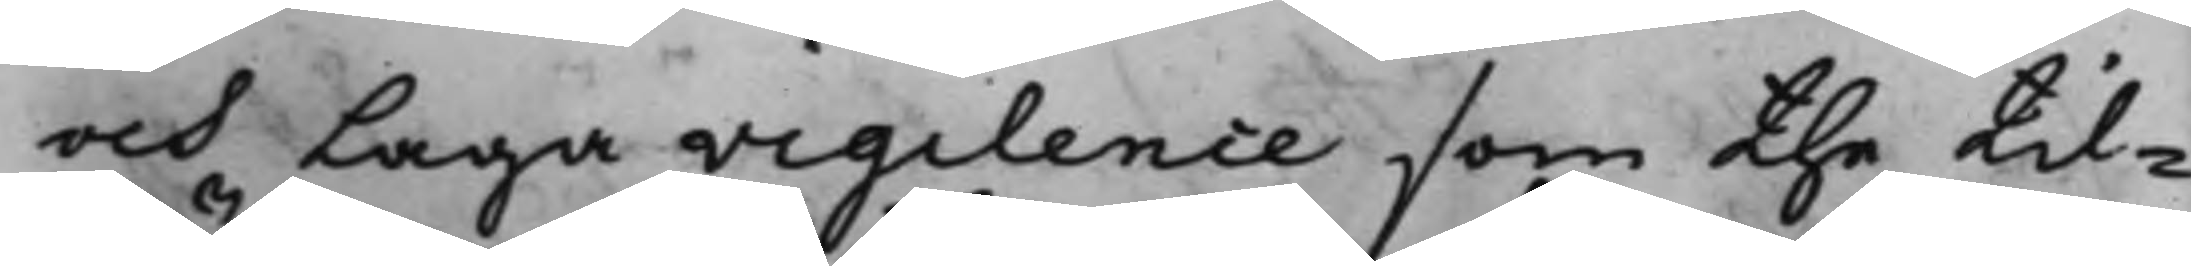och Laga vigilence som the til¬
